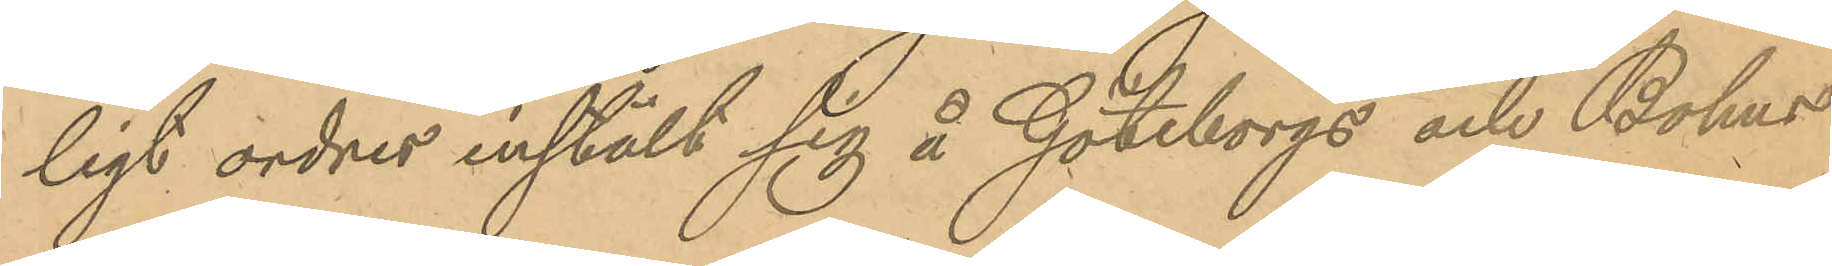ligt order instält sig å Göteborgs och Bohus
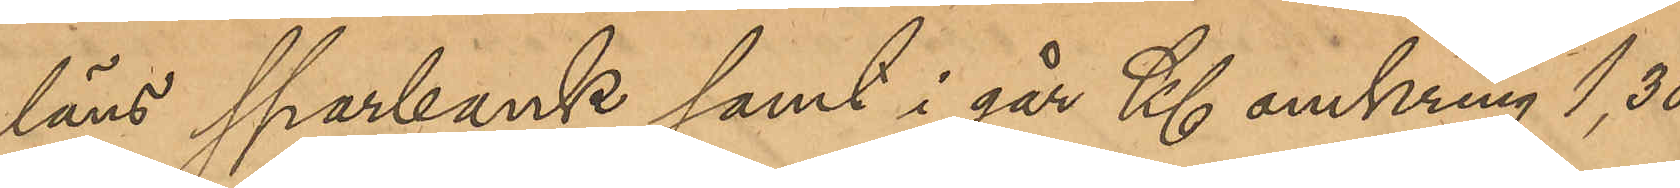läns sparbank samt i går Kl omkring 1,30
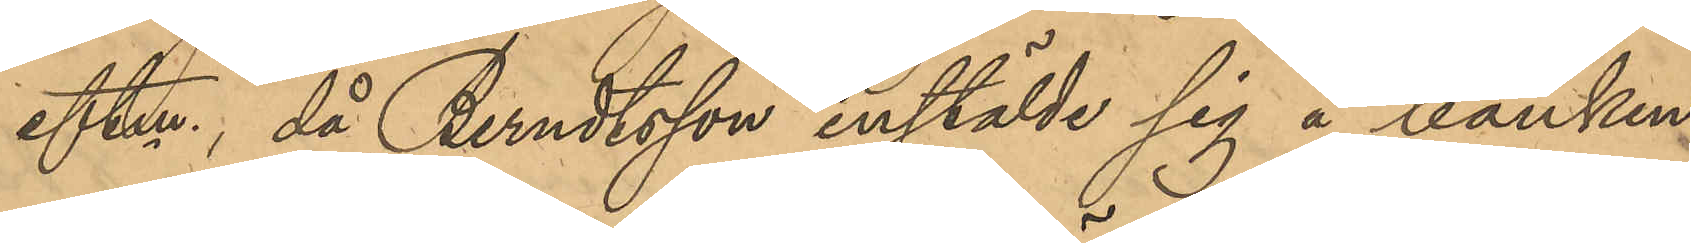eftm, då Berndtsson instälde sig å banken
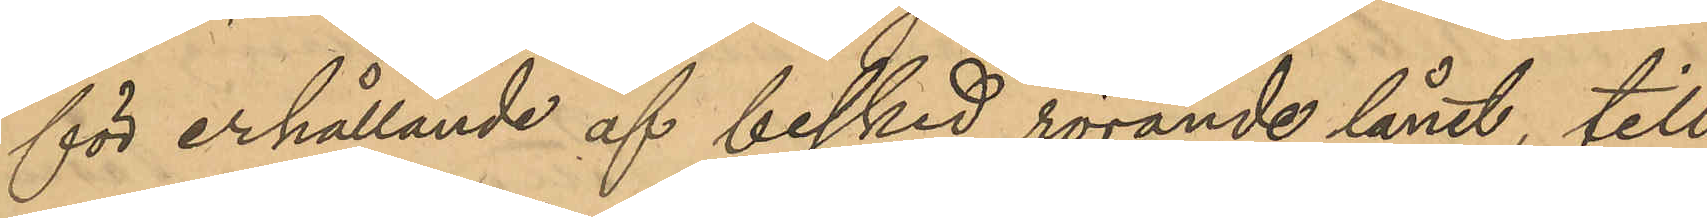för erhållande af besked rörande lånet, till¬
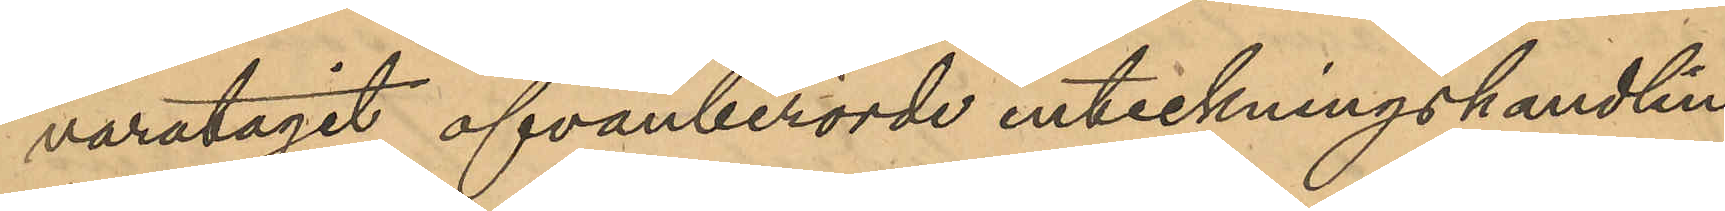varatagit ofvanberörde inteckningshandlin¬
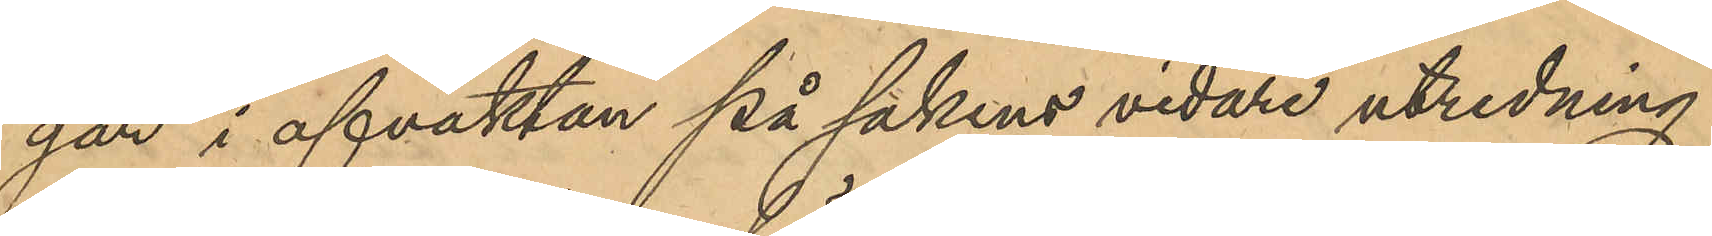gar i afvaktan på sakens vidare utredning.
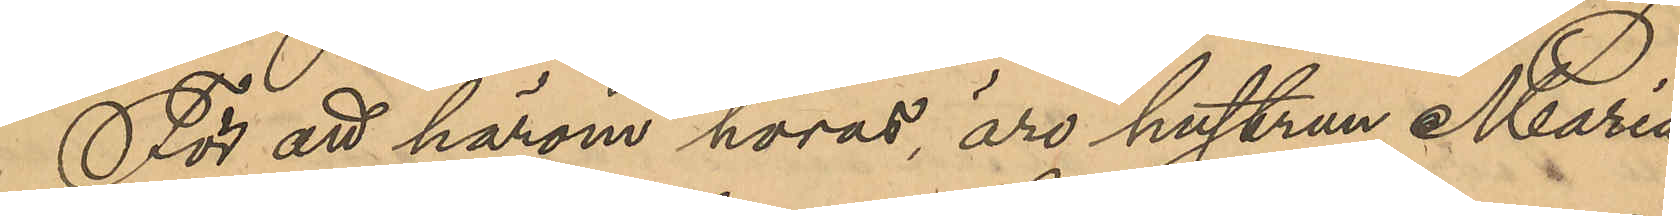För att härom höras, äro hustrun Maria
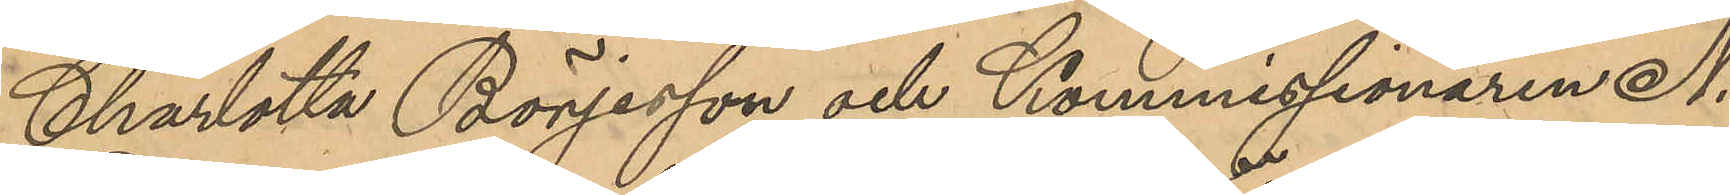Charlotta Börjesson och Kommissionaren N.
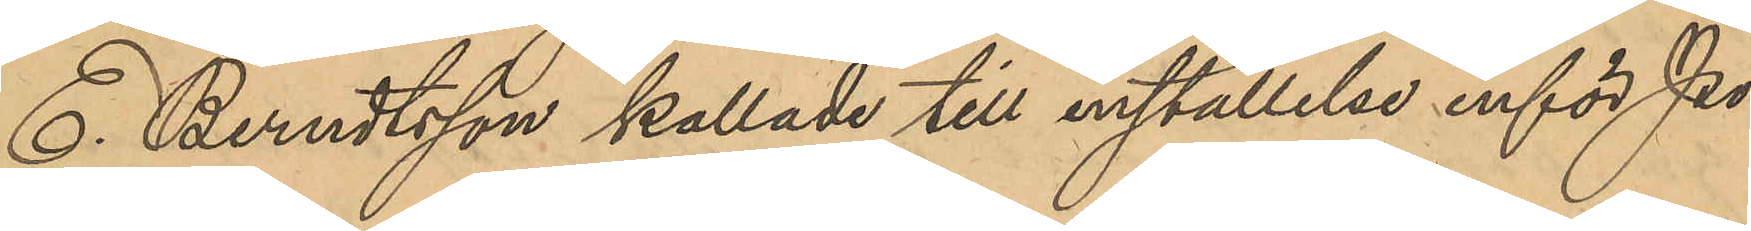E. Berndtsson kallade till inställelse inför Po¬
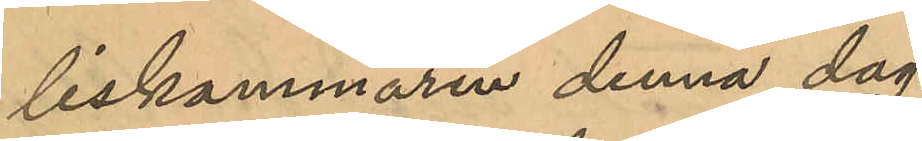liskammaren denna dag.
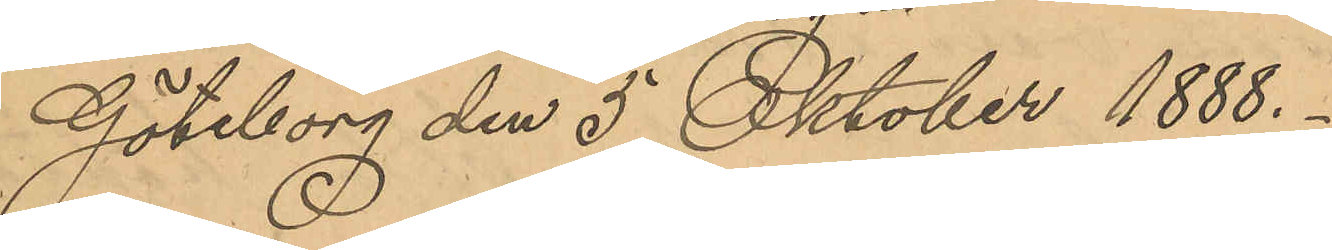Göteborg den 5 Oktober 1888.
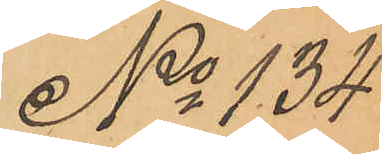No 134
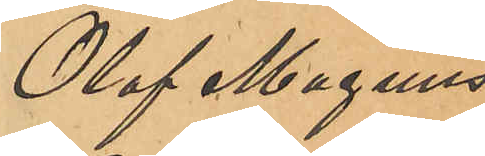Olof Magnus
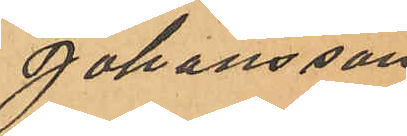Johansson
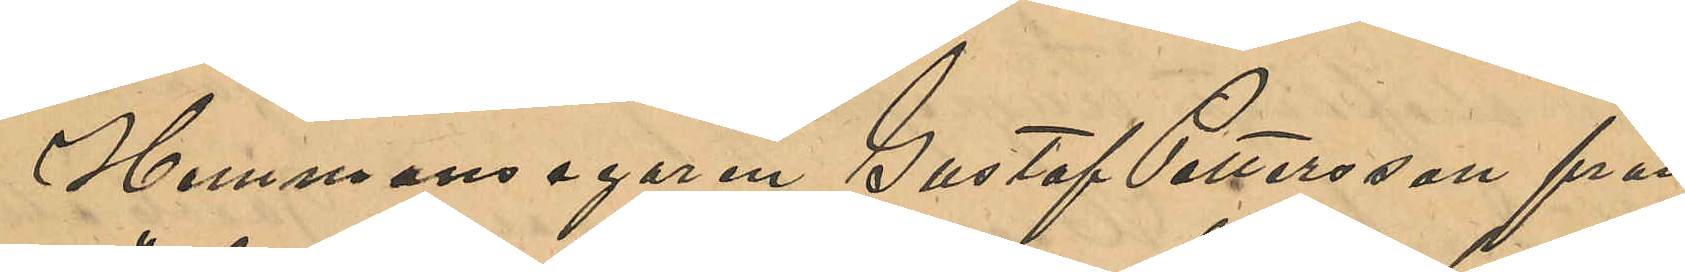Hemmansegaren Gustaf Pettersson från
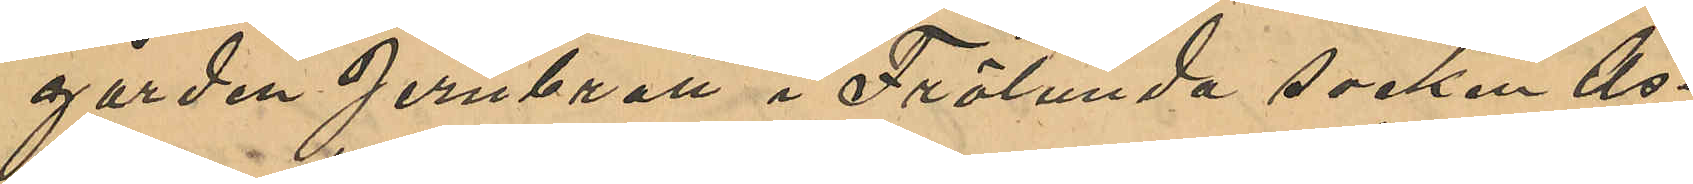gården Jernbrott i Frölunda socken As¬
